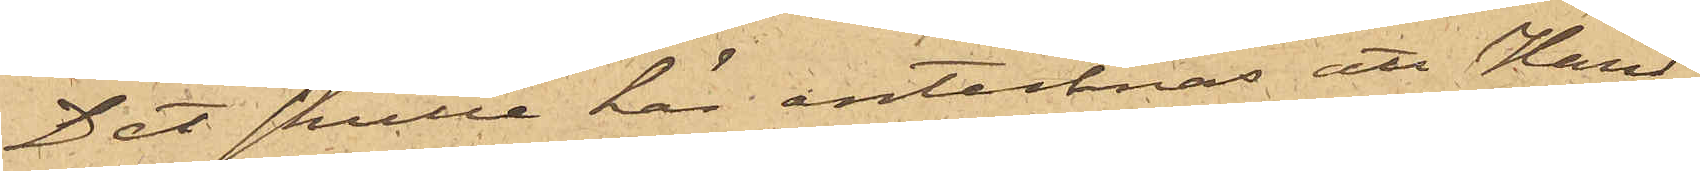Det skulle här antecknas att Hand¬
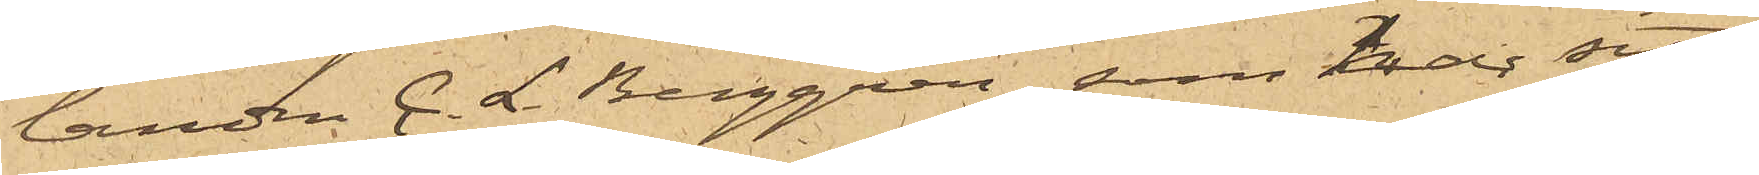landen C. L Berggren, som har sitt
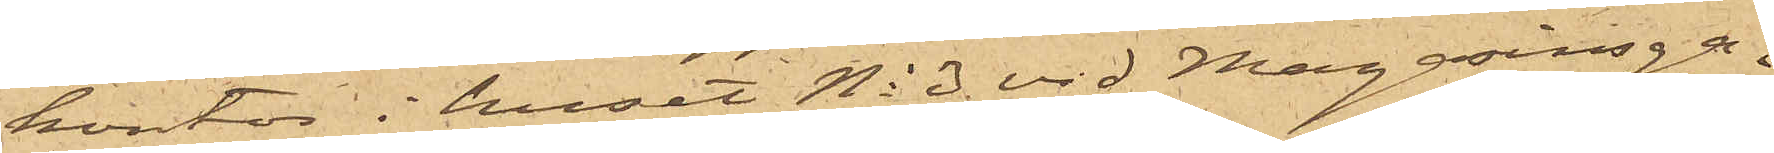kontor i huset No 3 vid Magasinsga¬
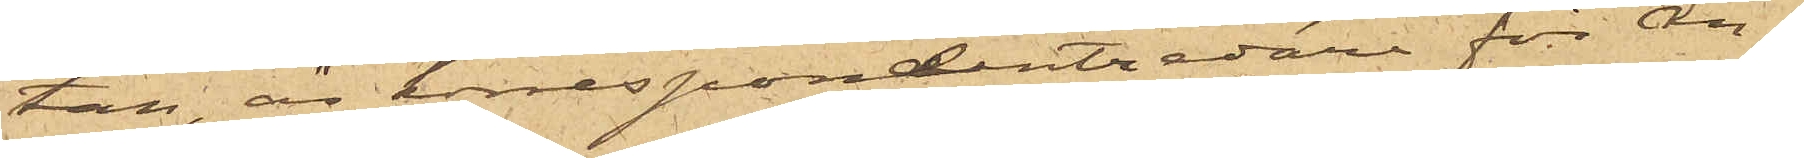tan, är korrespondentredare för ån¬
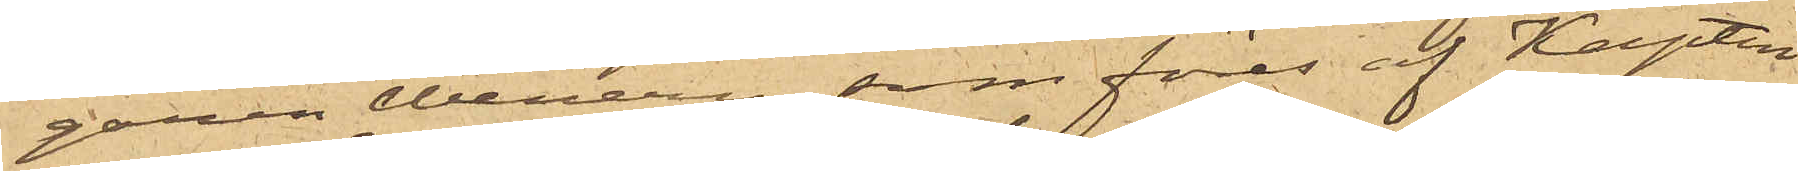garen Wenern, som föres af Kapten
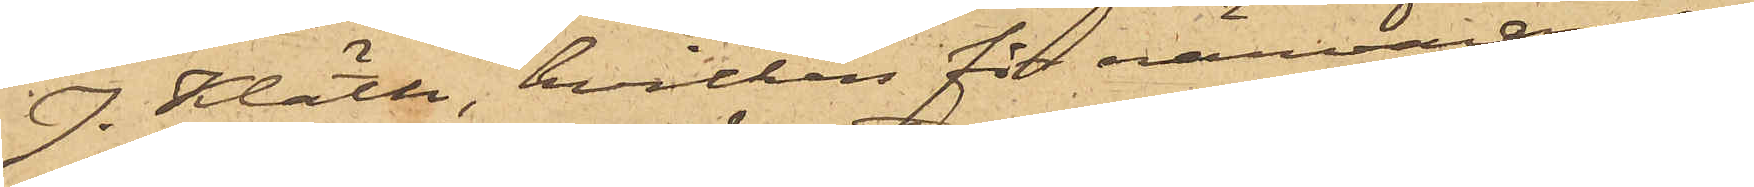J. Klätte, hvilken för närvarande
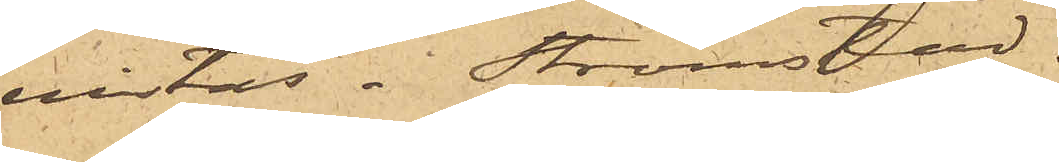vistas i Strömstad.
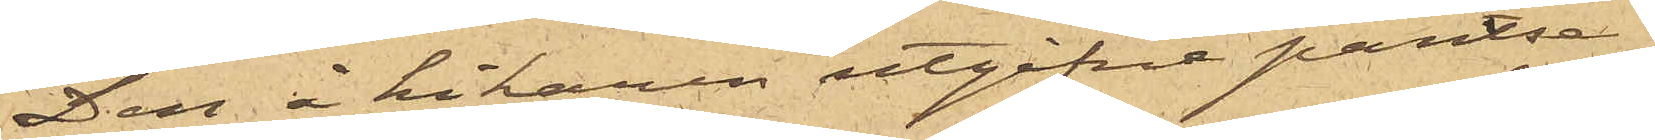Den å kikaren utgifne pantse¬
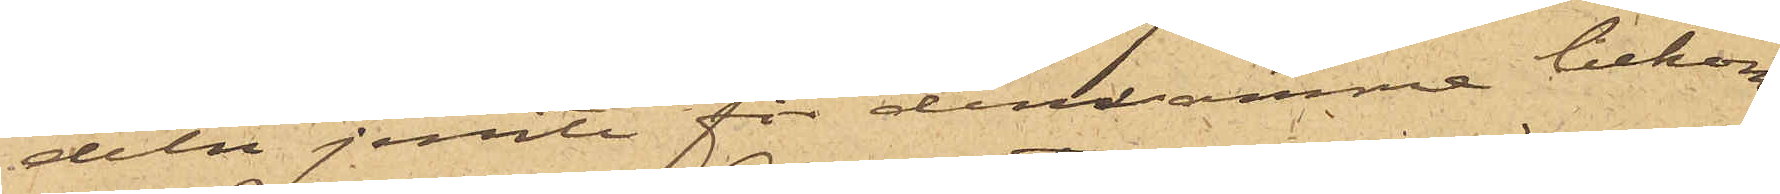deln jemte för densamma bekom¬
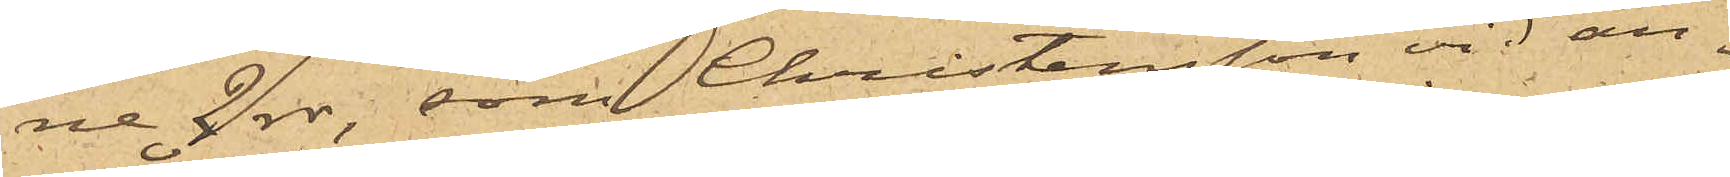ne 2 rdr, som Christensson vid an¬
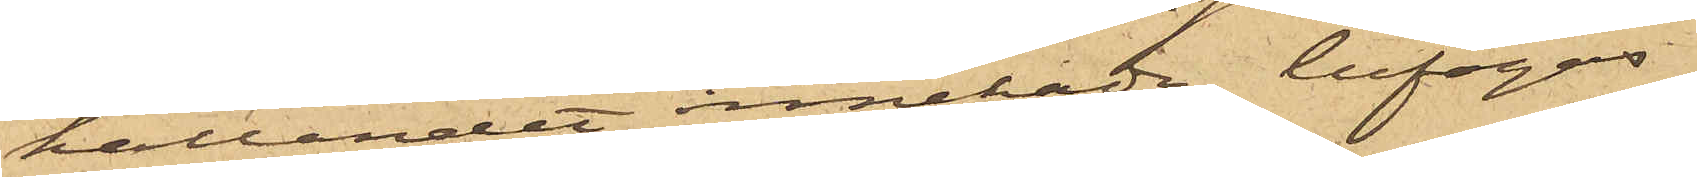hållandet innehade, bifogas.
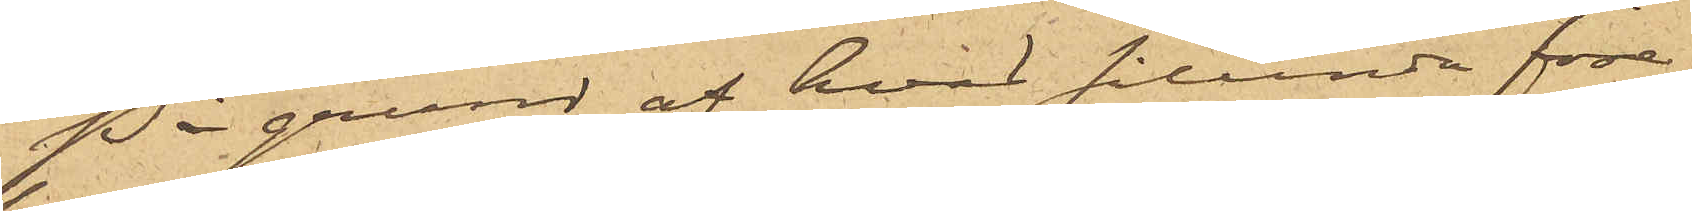På grund af hvad sålunda före¬
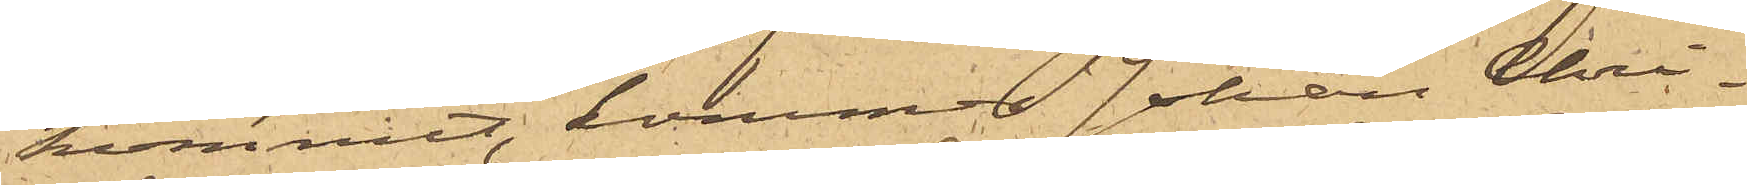kommit, kommer Johan Chri¬
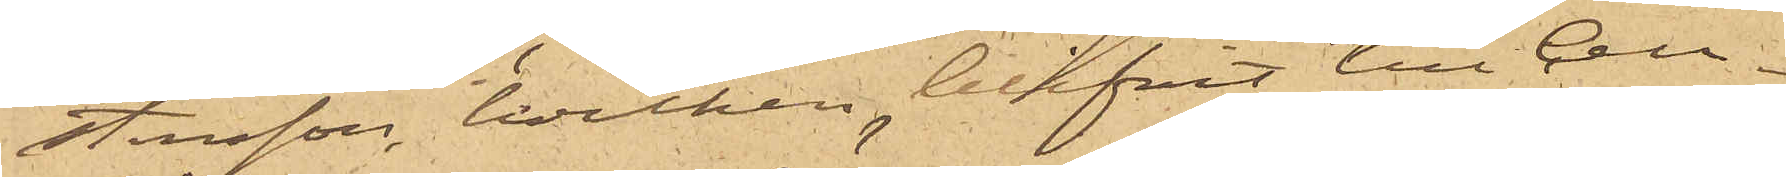stensson, hvilken blifvit till Cell¬
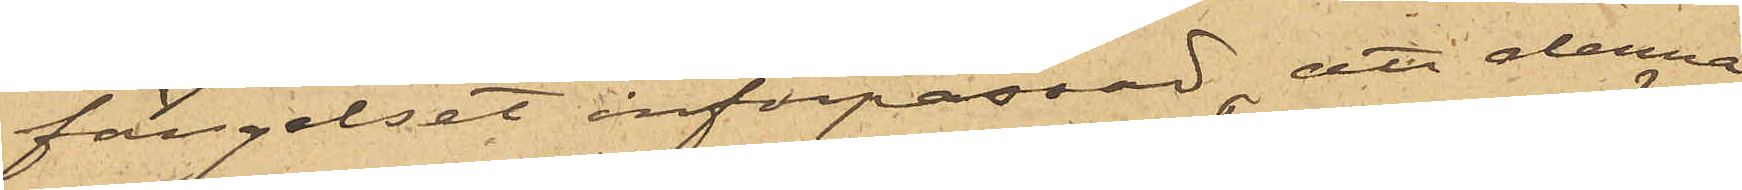fängelset införpassad, att denna
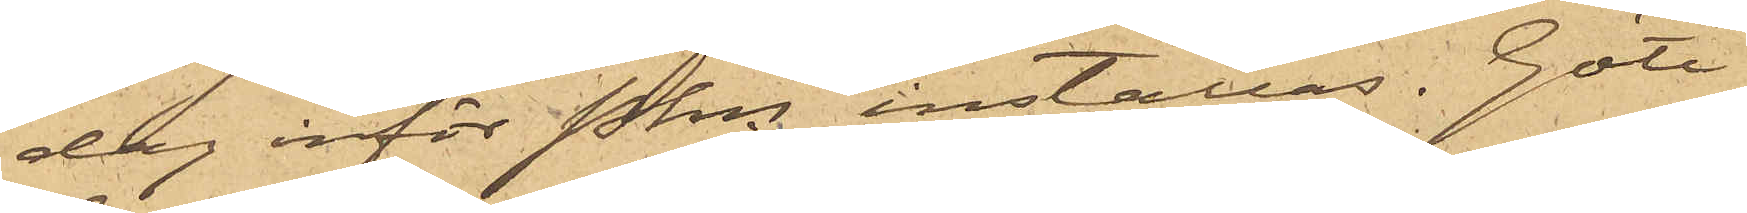dag inför Pkn inställas. Göte¬
